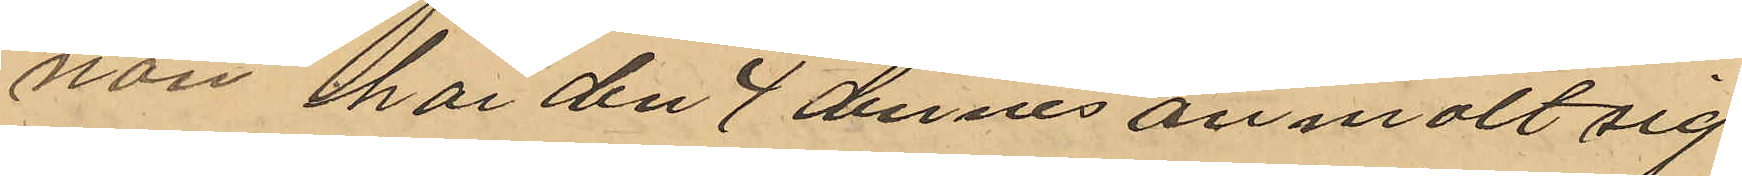nan har den 4 dennes anmält sig
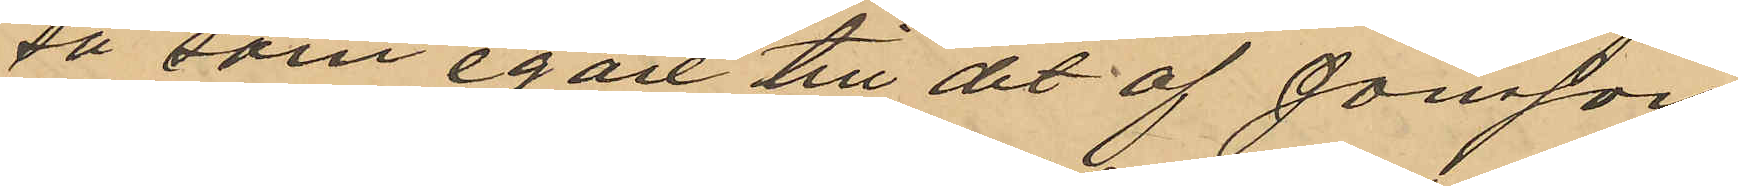så som egare till det af Jonsson
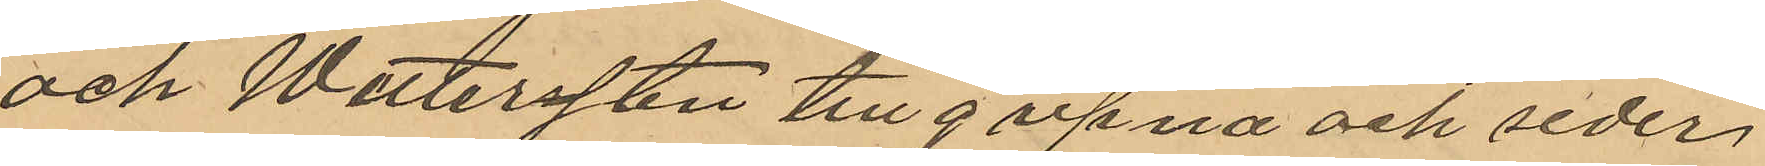och Wetterssten tillgripna och seder¬
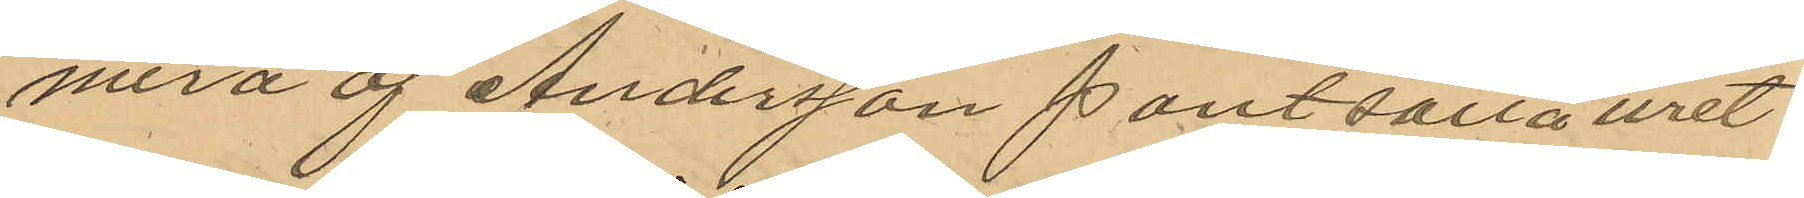mera af Andersson pantsatta uret
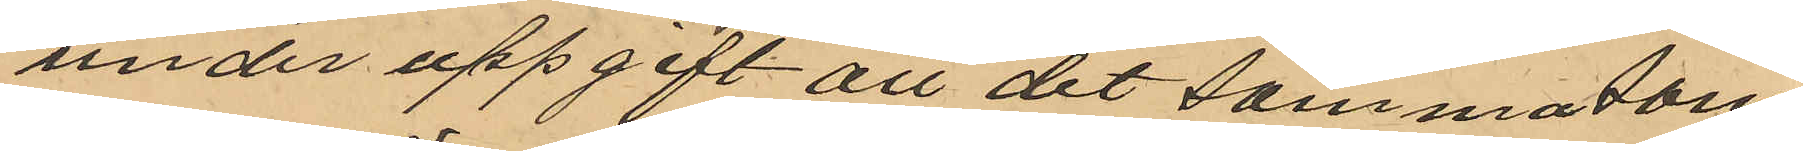under uppgift att det sammatom
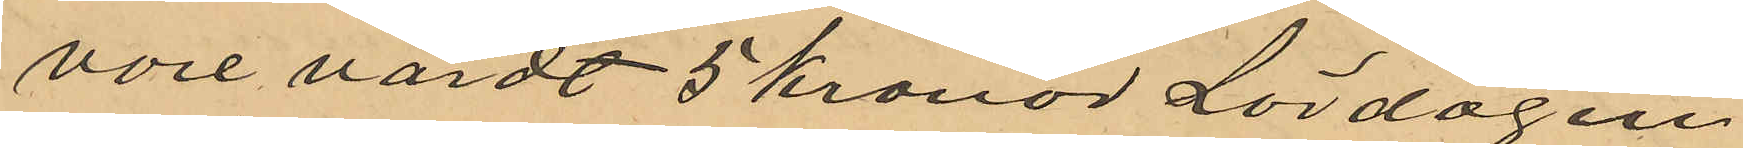vore värdt 5 kronor Lördagen
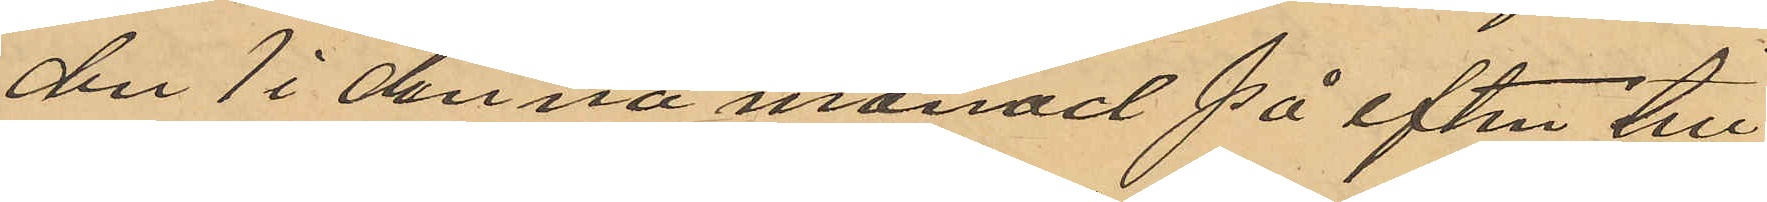den 1 i denna månad på eftm till¬
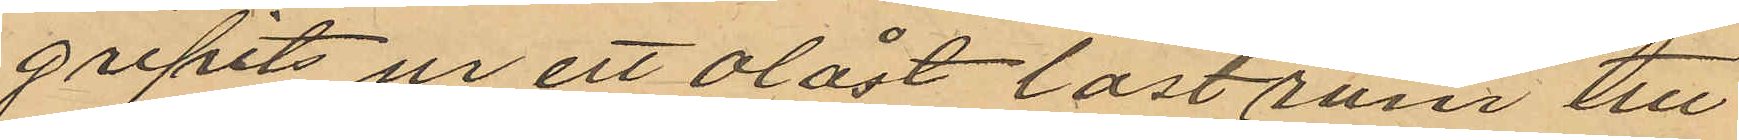gripits ur ett olåst lastrum till
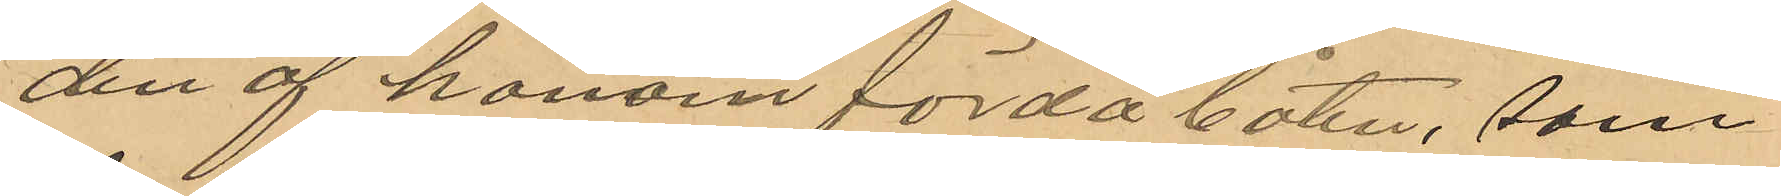den af honom förda båten, som
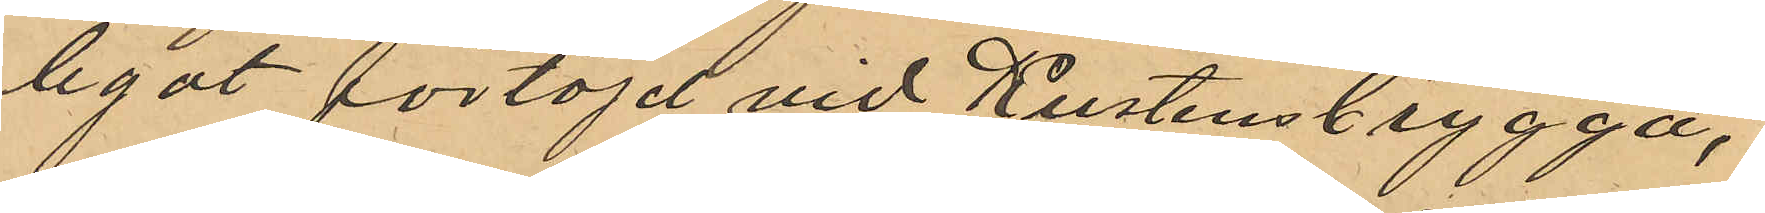legat förtöjd vid Kustens brygga,
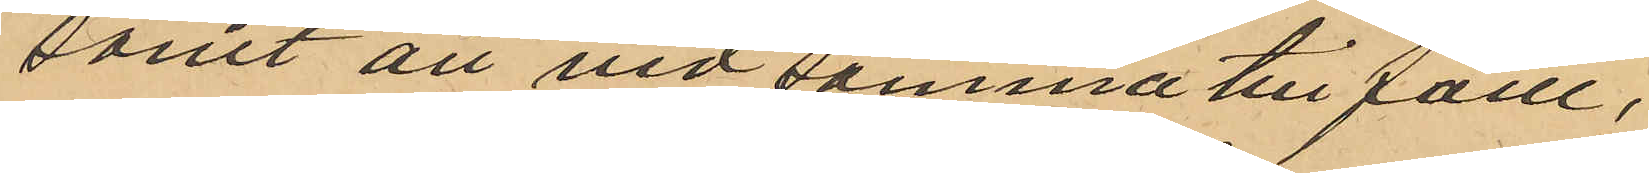samt att vid samma till fälle,
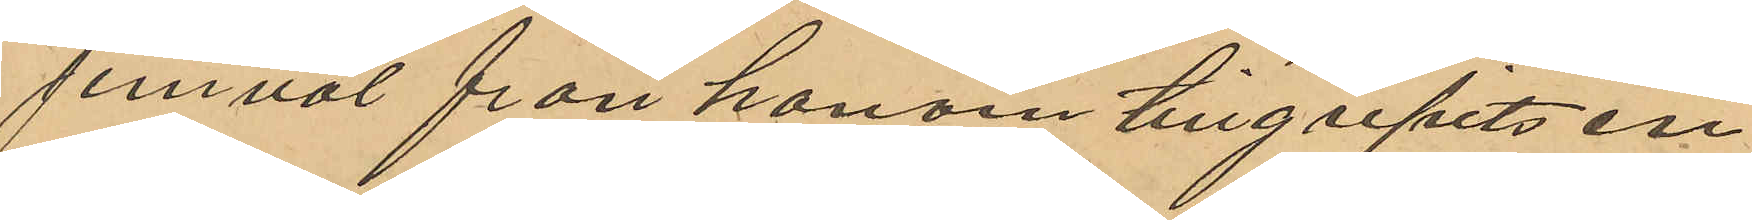jemväl från honom tillgripits en
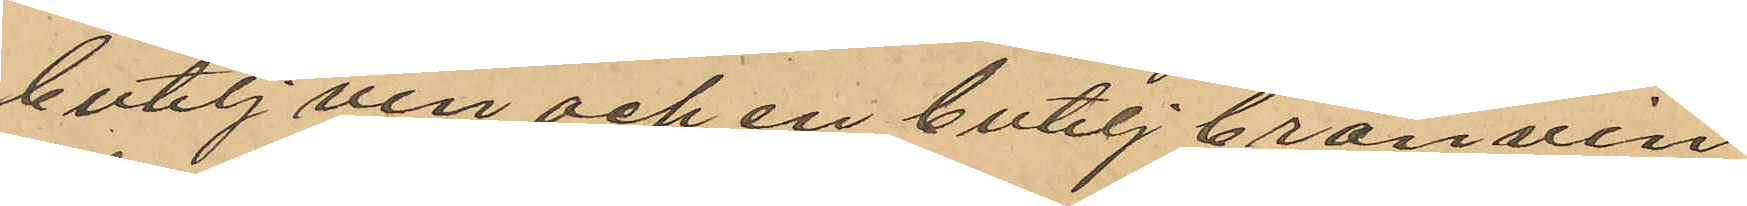butelj vin och en butelj brännvin
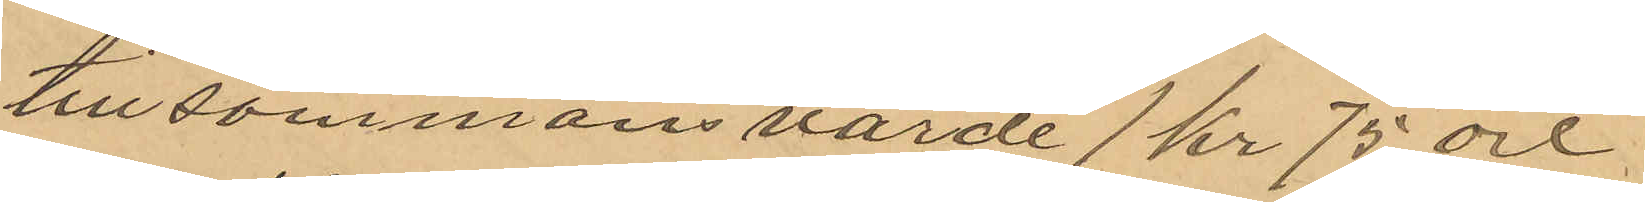tillsammans värde 1 kr 75 öre.
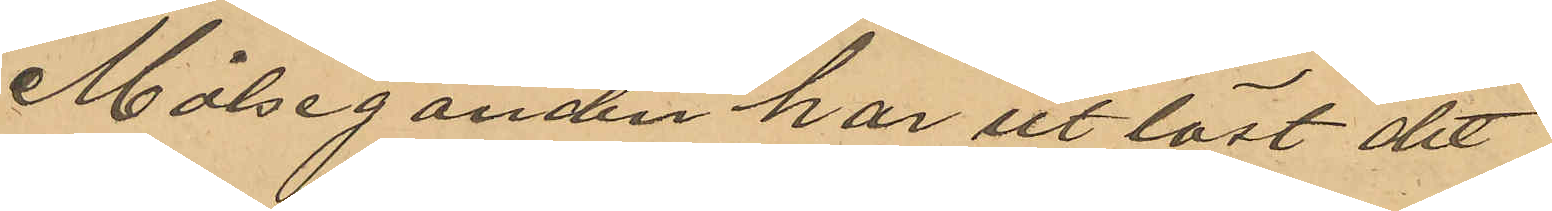Målseganden har utlöst det
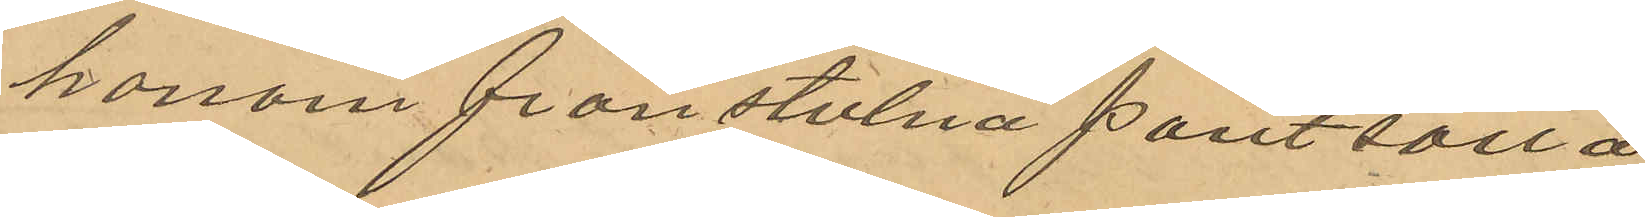honom frånstulna pantsatta
